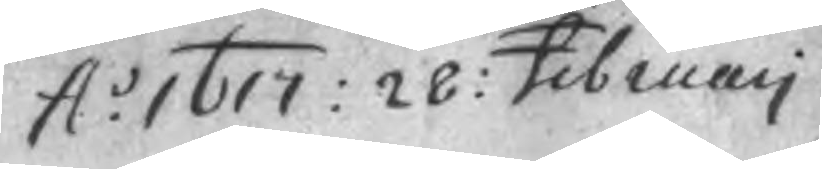A.o 1617: 28: Februarj
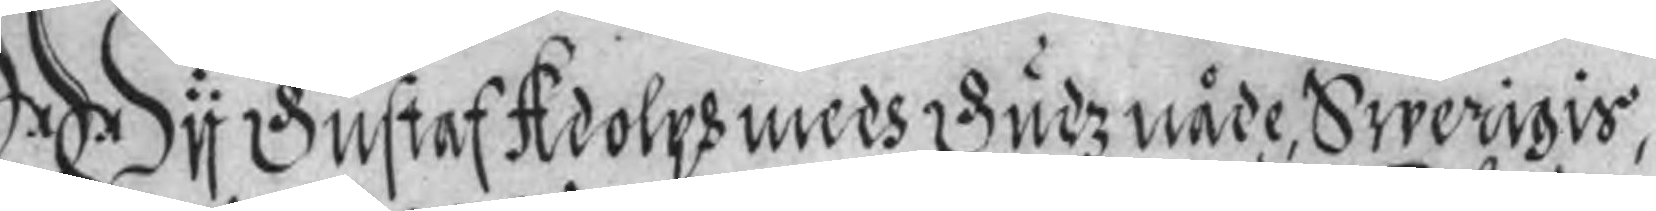Wy Gustaf Adolph medh Gudz nåde Swerigis,
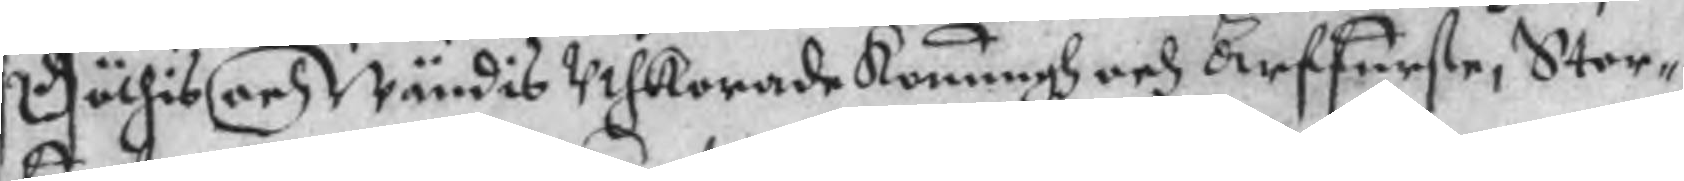Göthis och Wändis Uthkorade Konungh och Arffurste, Stor¬
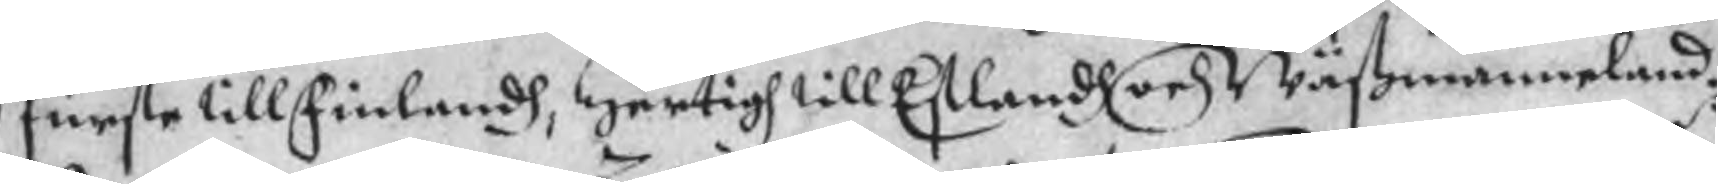furste till Finlandh, Hertigh till Eslandh och Wästmanneland.
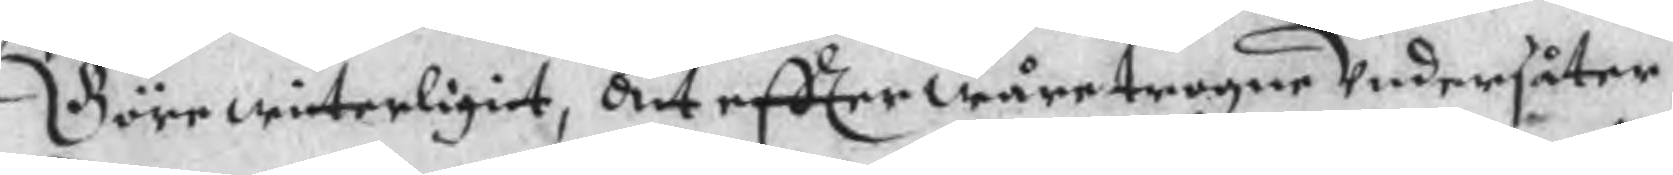Göre witerligit, att effter wåre trogne Undersåter
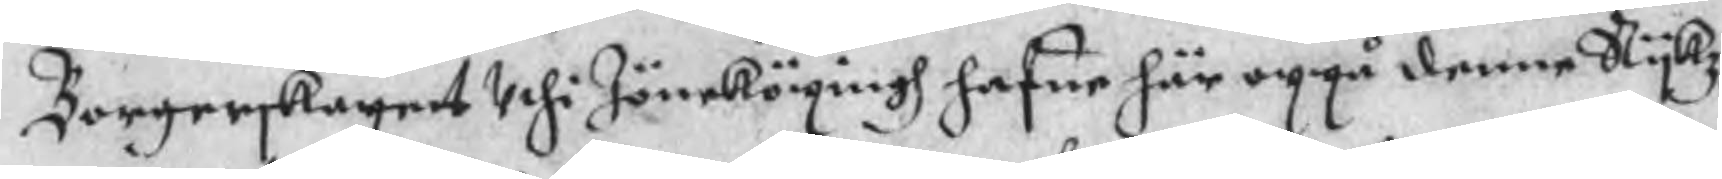Borgerskapet Uthi Jöneköpingh hafue här uppå denne Rykz¬
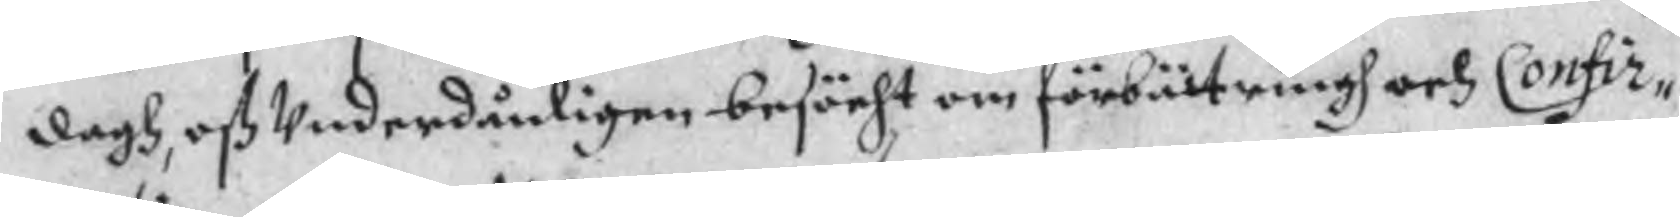dagh, oß Underdånligen besöcht om förbättringh och Confir¬
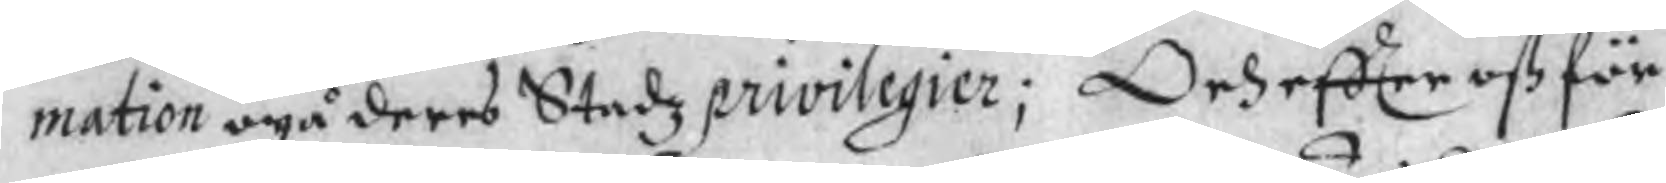mation opå deres Stadz privilegier; Och effter oß för
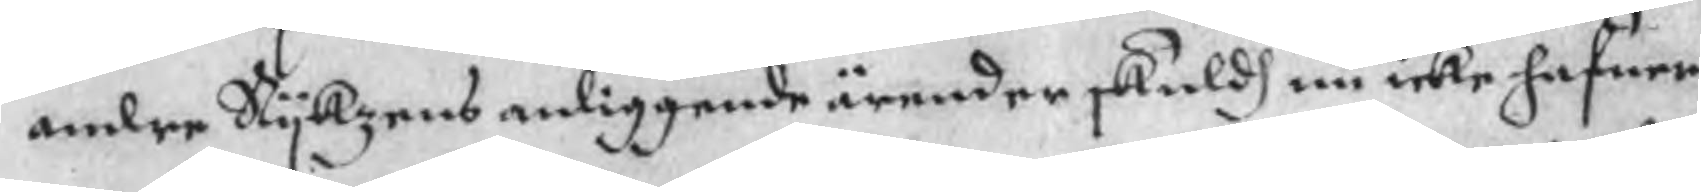andre Rykzens anliggende ärender skuldh nu icke hafuer
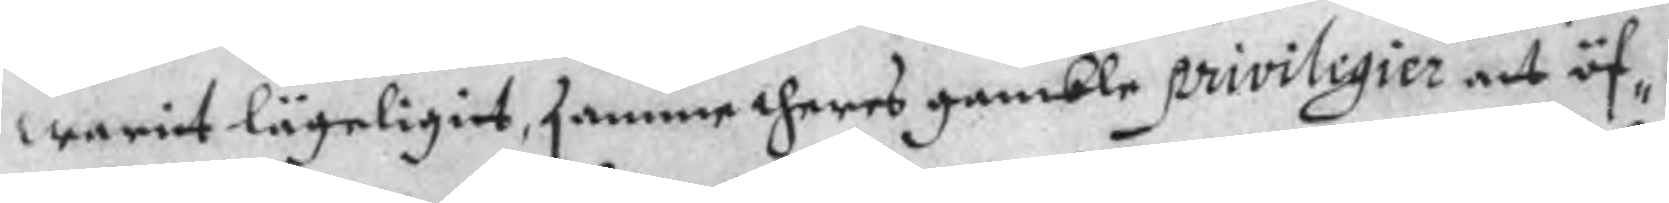warit lägeligit, samme theres gamble priviligier att öf¬
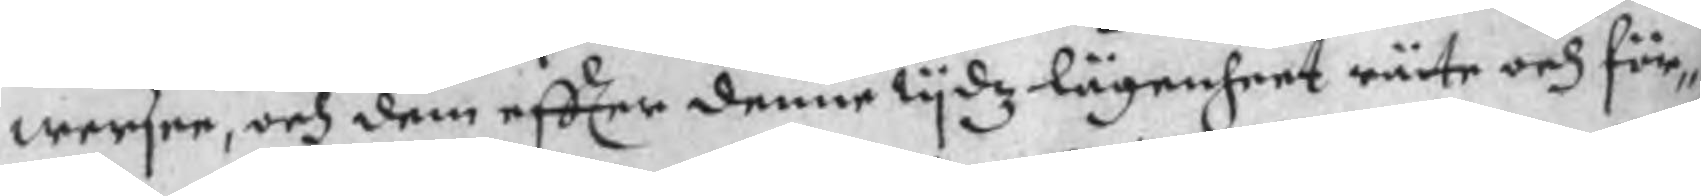wersee, och dem effter denne tydz lägenheet räte och för¬
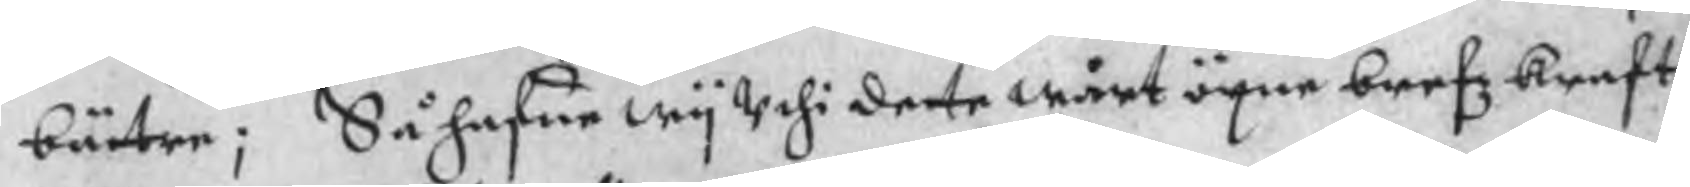bätre; Så hafue wy Uthi dete wårt öpne brefz kraft
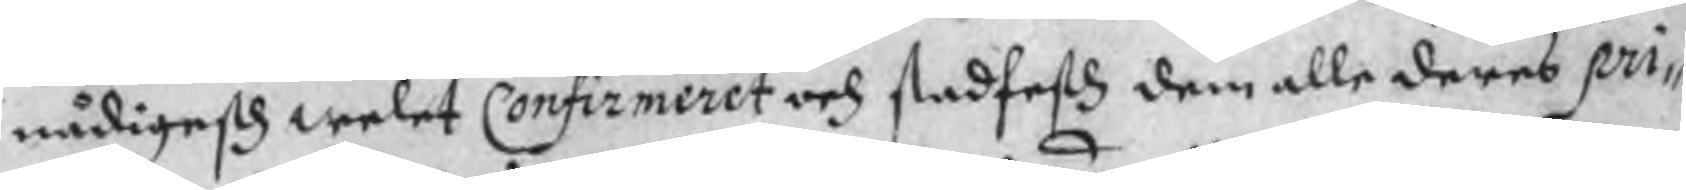nådigesth welet Confirmeret och stadfesth dem alle deres pri¬
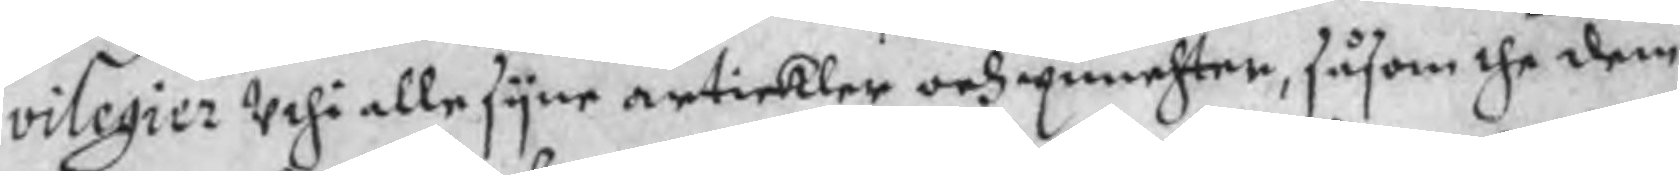vilegier Uthi alle syne artickler och punchter, såsom the dem
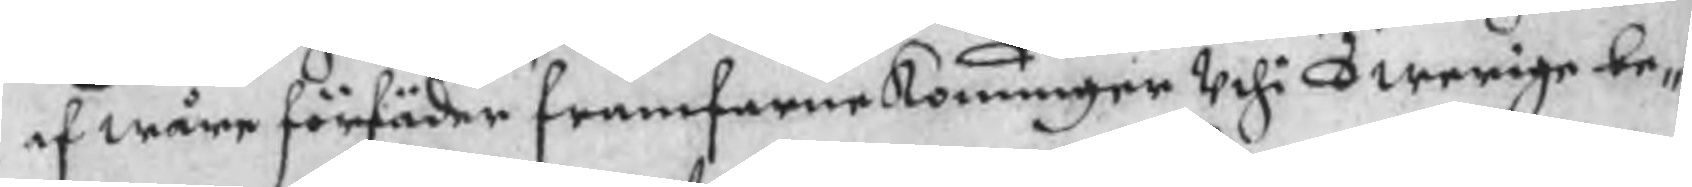af wåre förfäder framfarne Konunger Uthi Swerige be¬
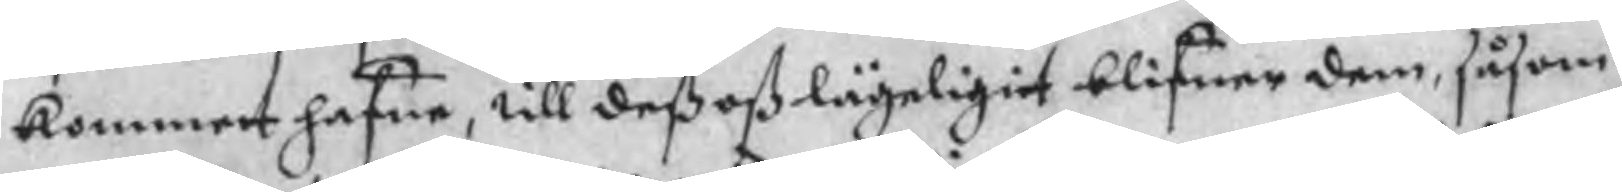kommet hafue, till deß oß lägeligit blifuer dem, såsom
